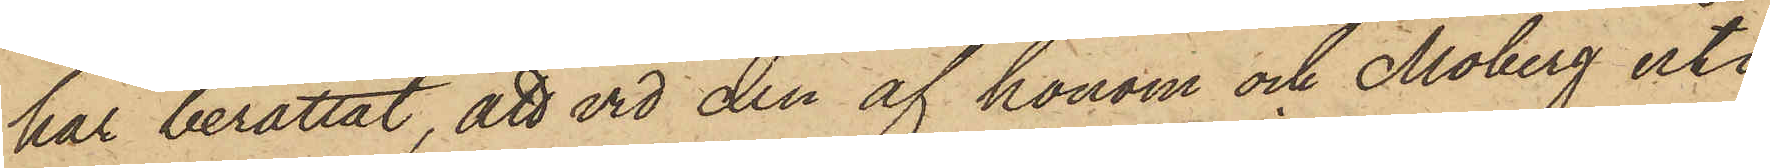har berättat, att vid den af honom och Moberg uti
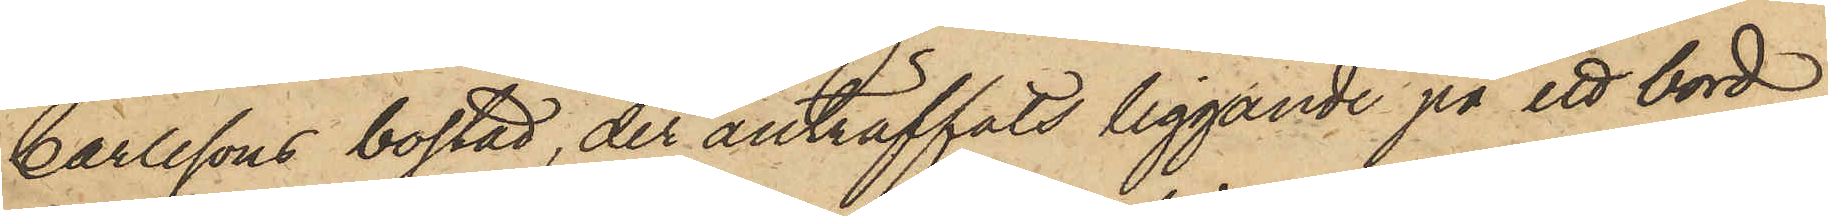Carlssons bostad, der anträffats liggande på ett bord
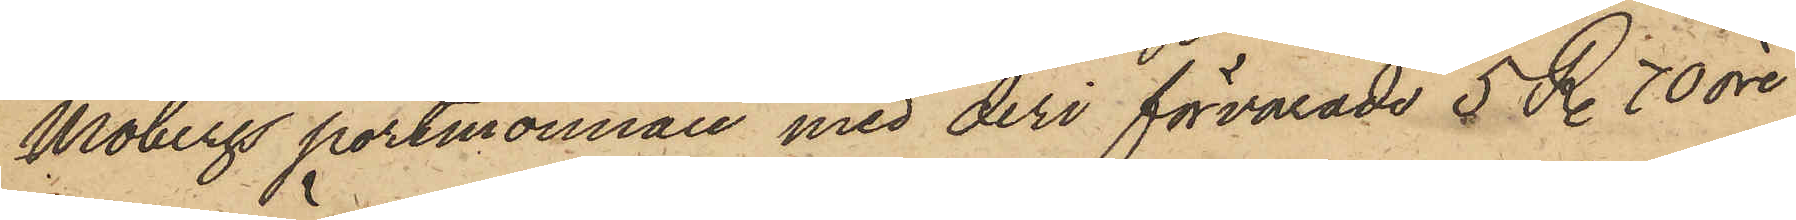Mobergs portmonnaie med deri förvarade 5 R. 70 öre
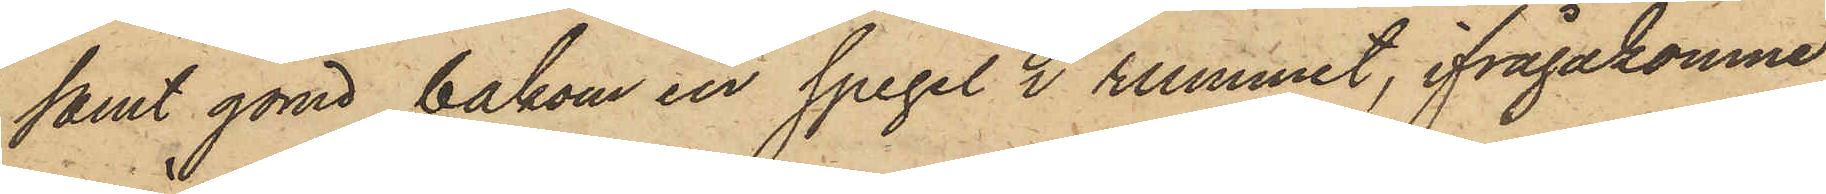samt gömd bakom en spegel i rummet, ifrågakomne
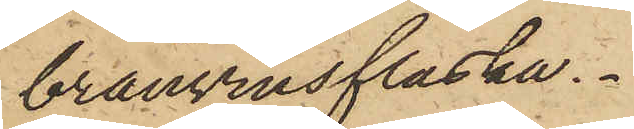bränvinsflaska.
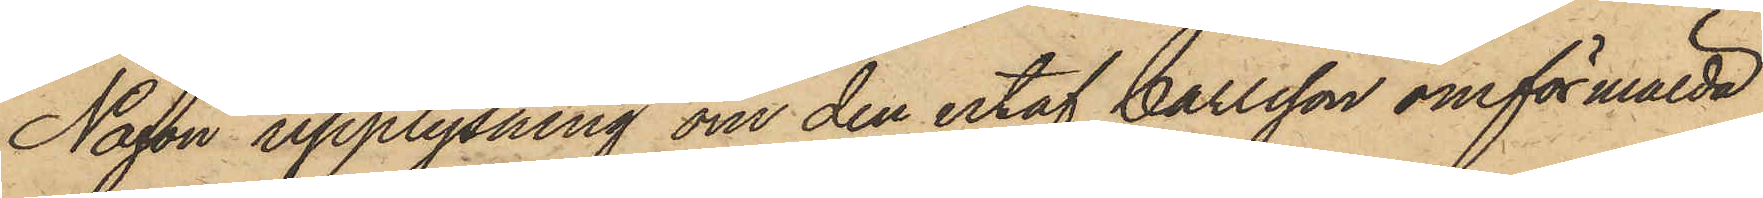Någon upplysning om den utaf Carlsson omförmälda
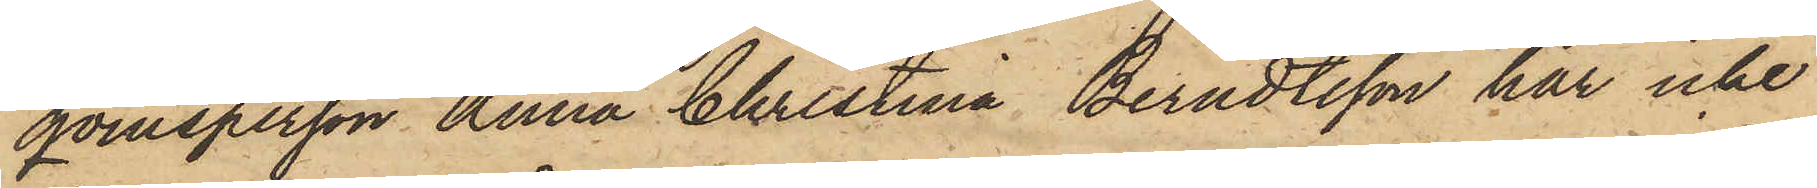qvinsperson Anna Christina Berndtsson har icke
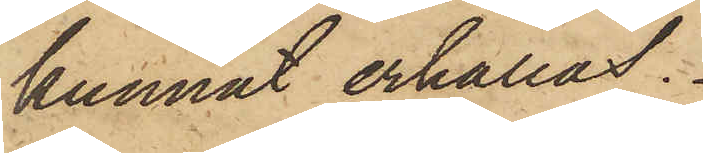kunnat erhållas.
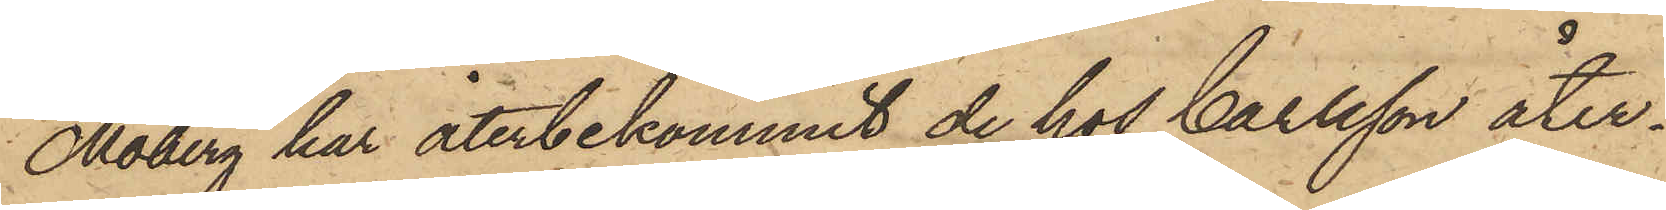Moberg har återbekommit de hos Carlsson åter¬
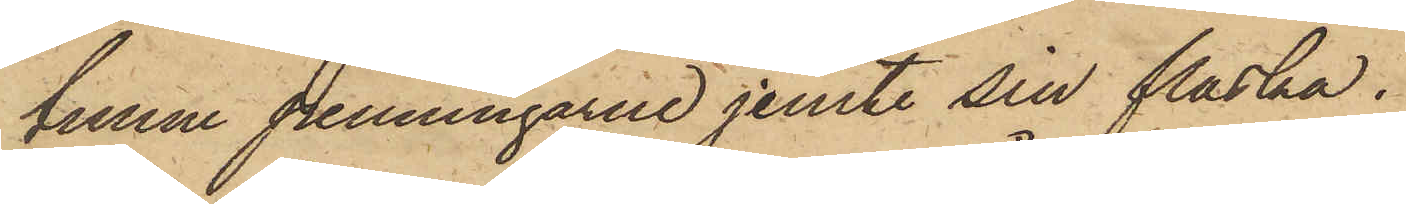funne penningarne jemte sin flaska.
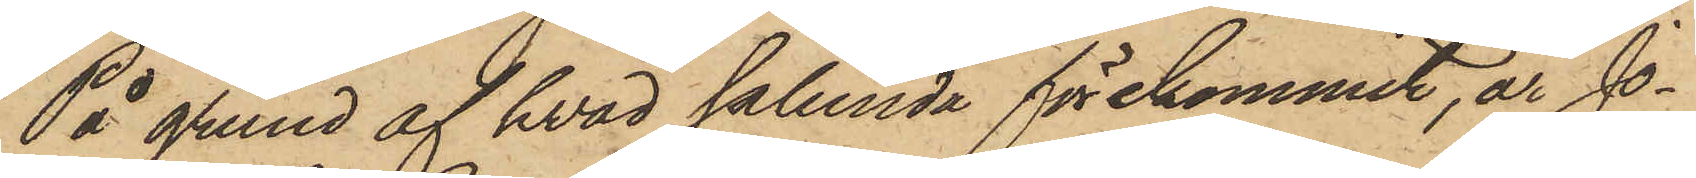På grund af hvad sålunda förekommit, är Jo¬
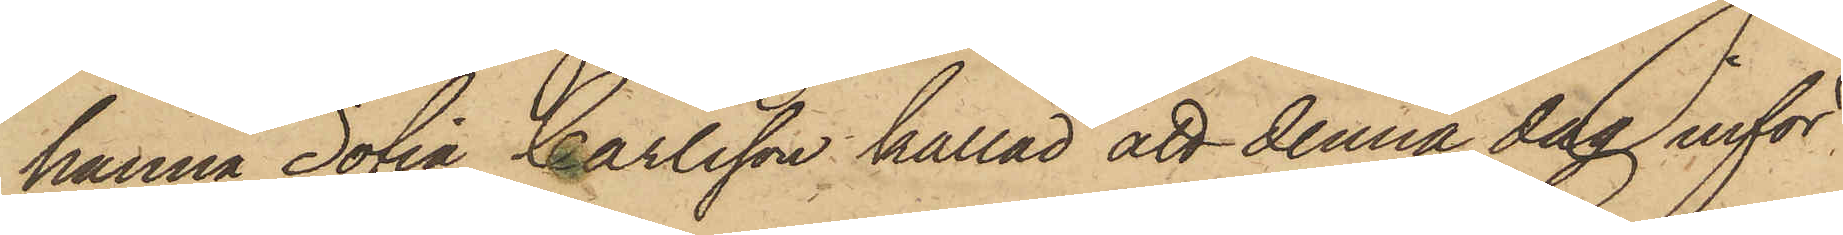hanna Sofia Carlsson kallad att denna dag inför
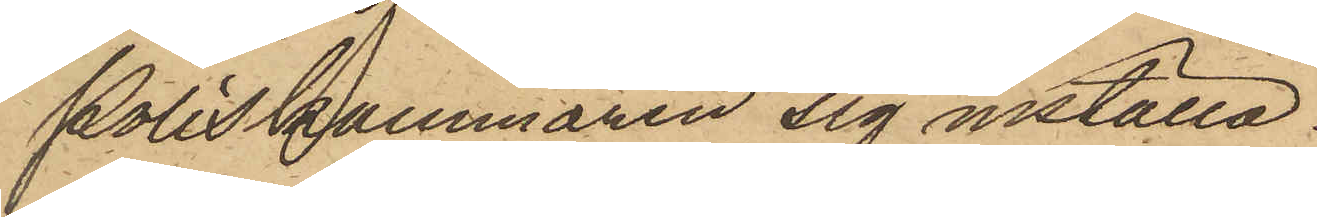Poliskammaren sig inställa.
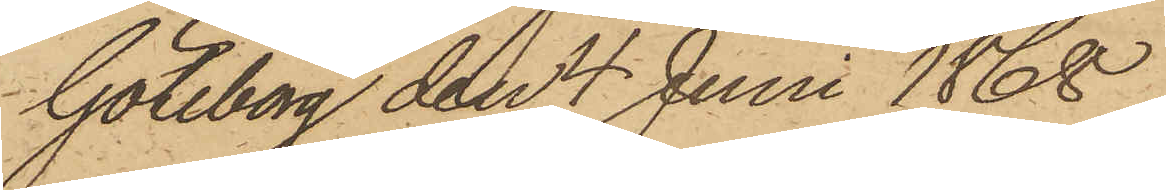Göteborg den 4 Juni 1868.
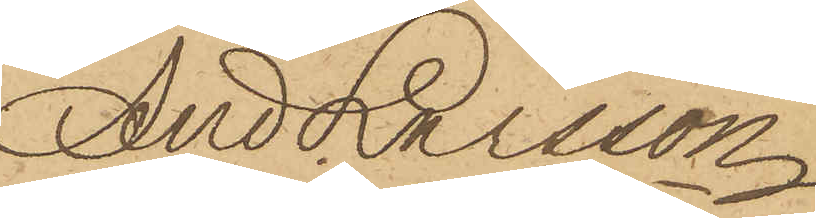And Larsson
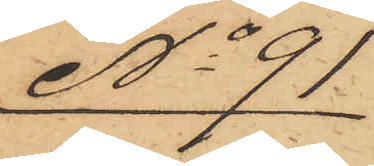No 91
